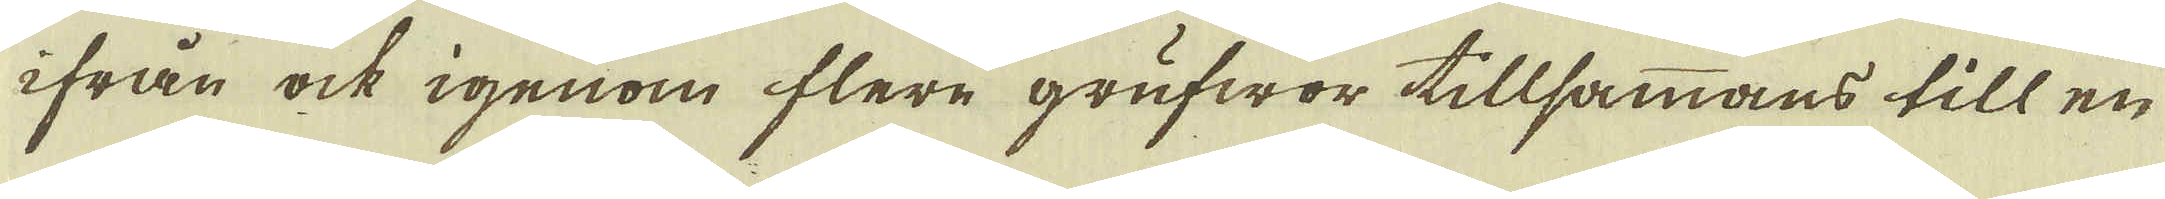ifrån ock igenom flere grufwor tillsammans till en
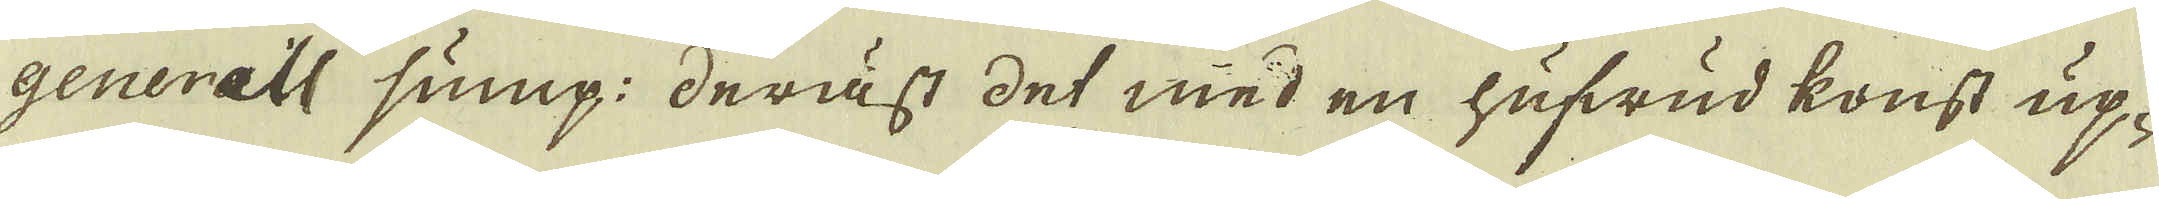generell sump: deräst det med en hufwud konst up-
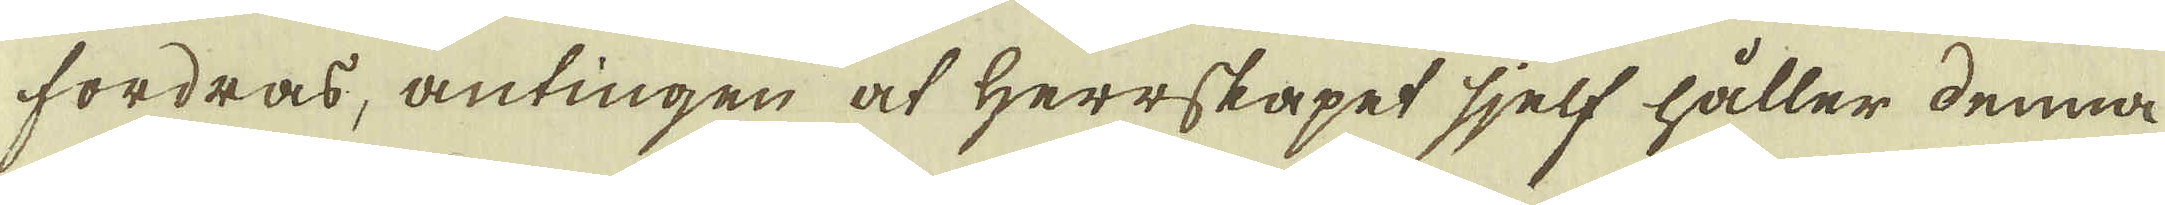fordras, antingen at herrskapet sjelf håller denna
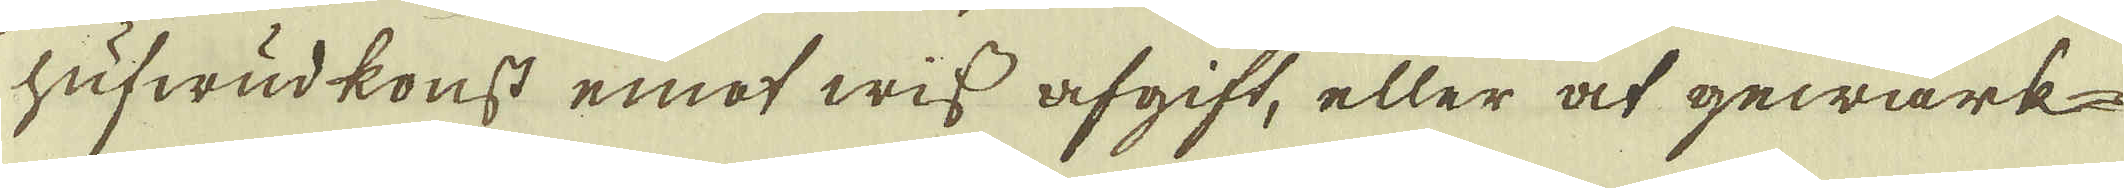hufwudkonst emot wiss afgift, eller at gewärk-
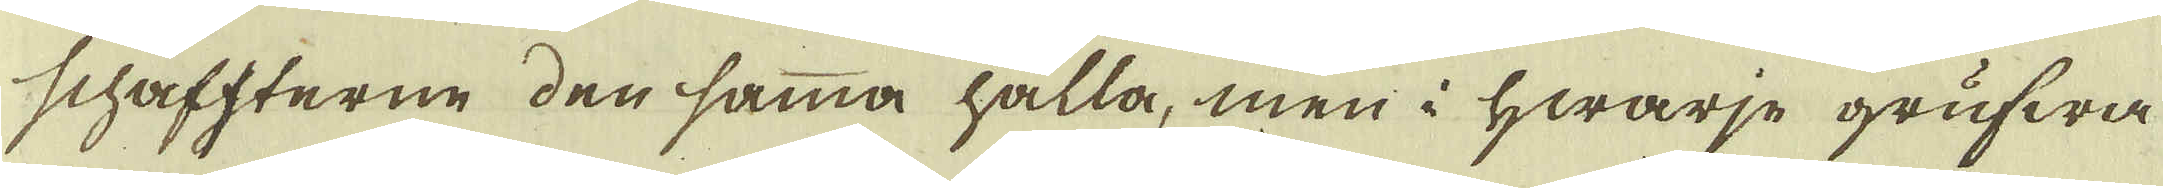schaffterne den samma hålla, men i hwarje grufwa
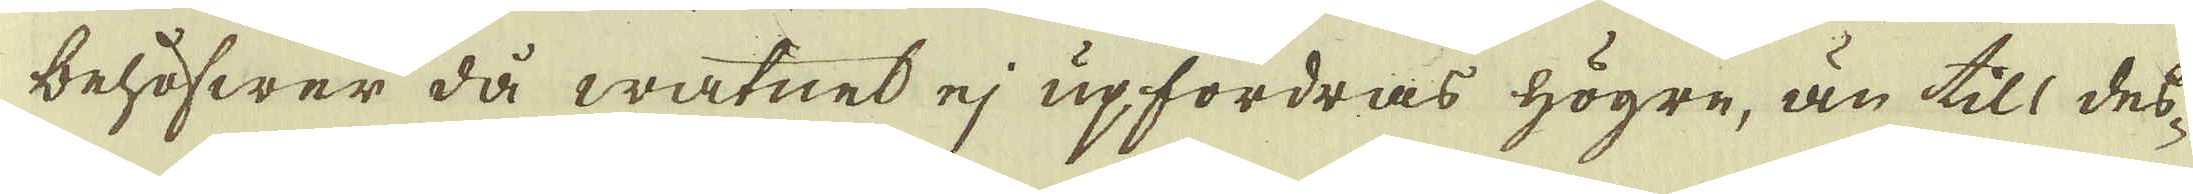behöfwer då watnet ej upfordras högre, än till des-
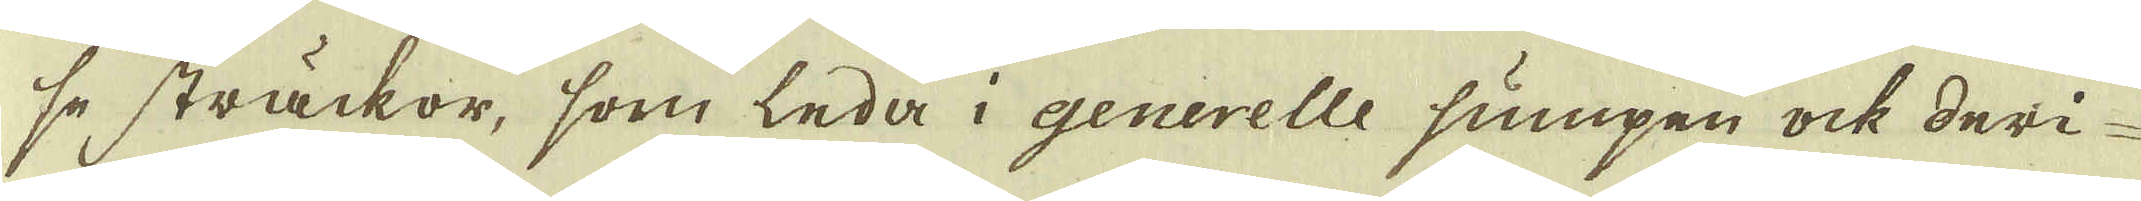se sträckor, som leda i generelle sumpen ock deri-
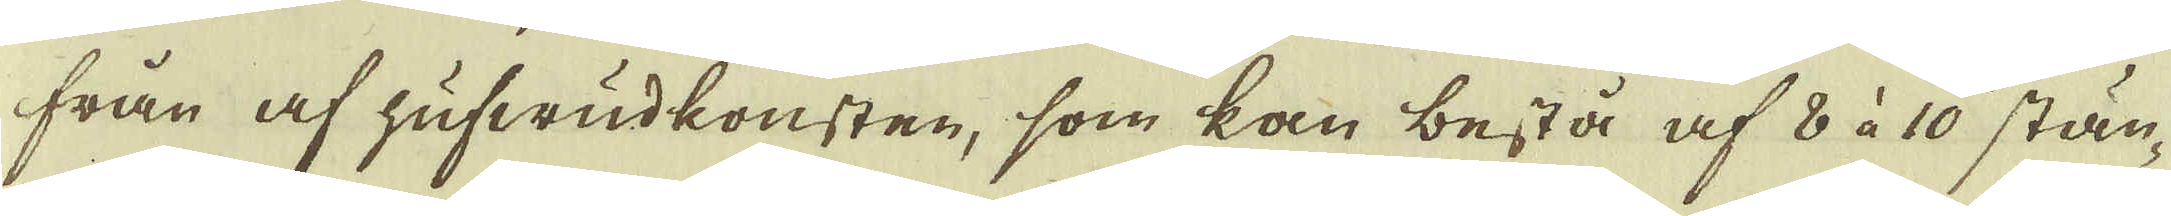från af hufwudkonsten, som kan bestå af 8 à 10 stän-
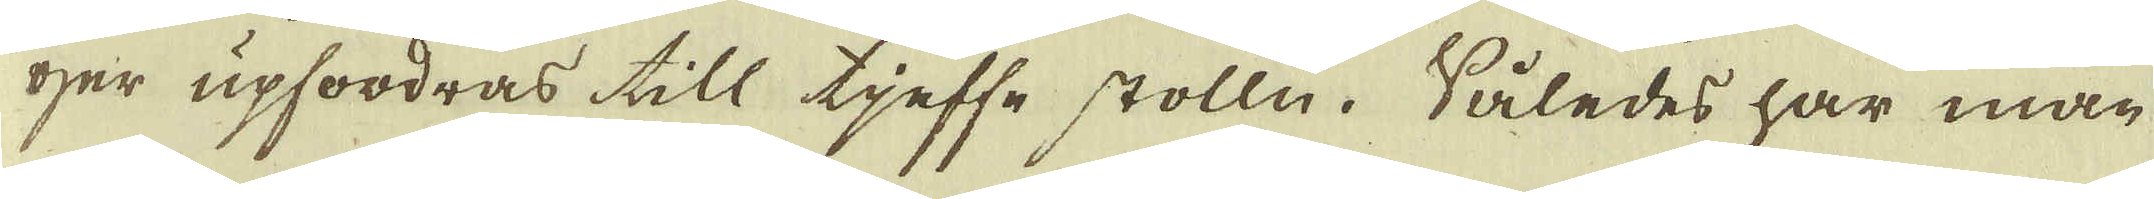ger upfordras till tjeffe stolln. Således har man
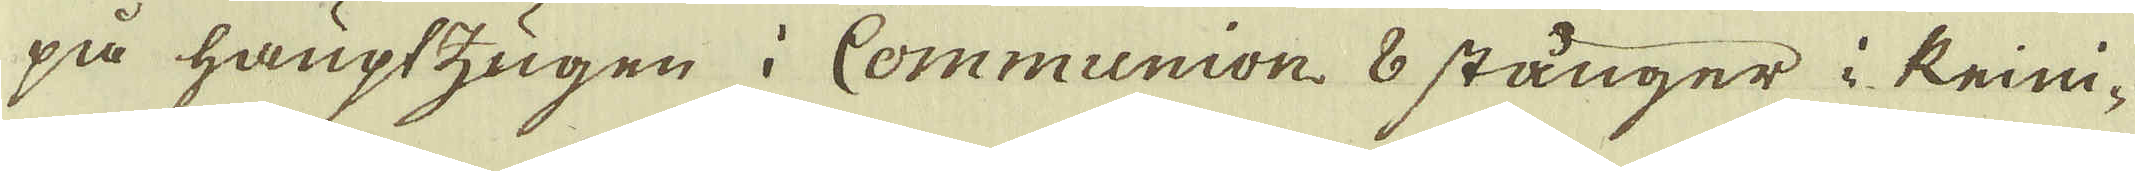på hauptzugen i Communion 8 stånger i Krim-
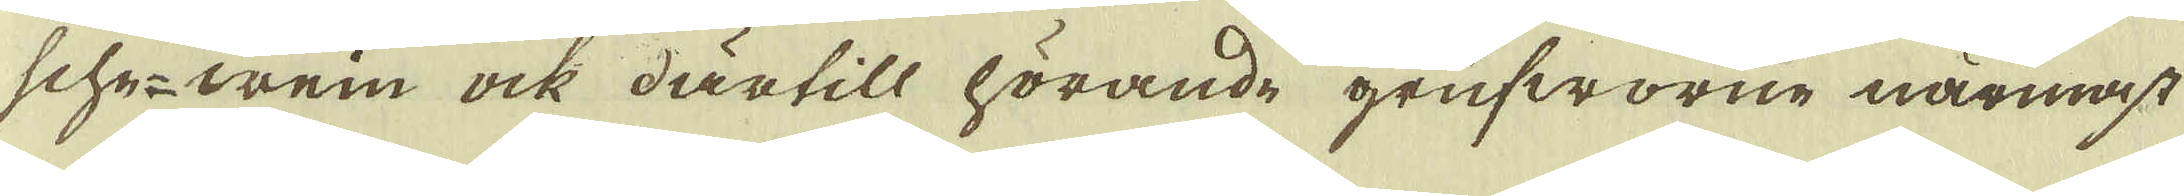sche-wein ock därtill hörande grufworne närmast
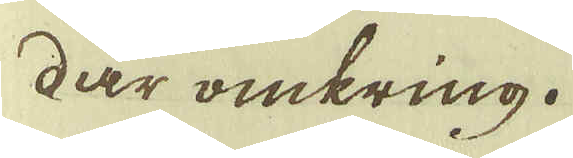där omkring.
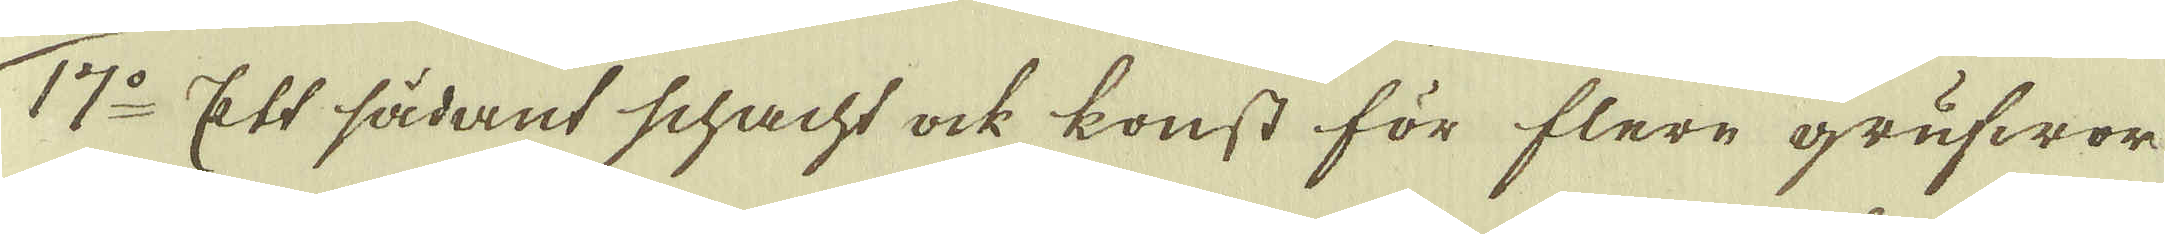17:o Ett sådant schacht ock konst för flere grufwor
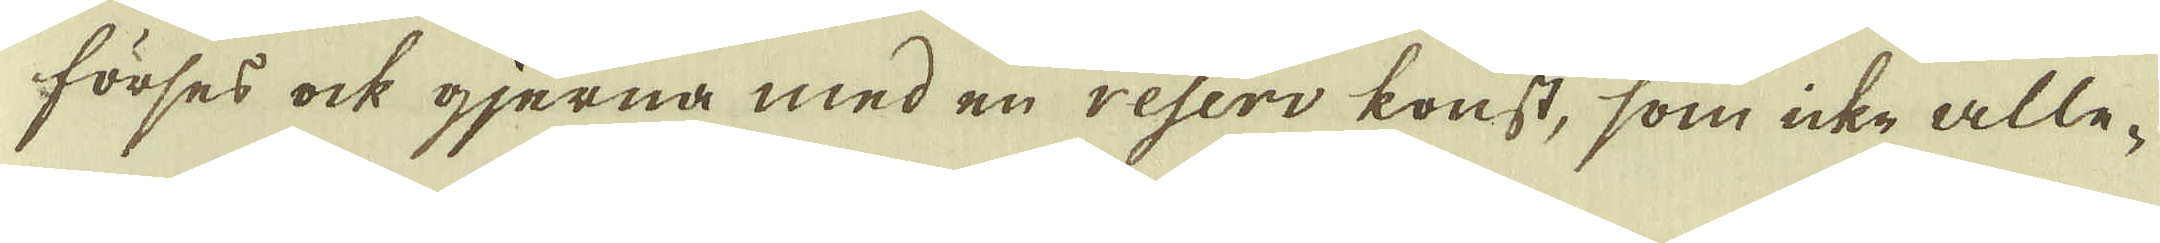förses ock gjerna med en reserv konst, som icke alle-
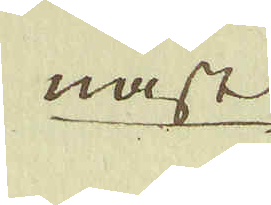nast
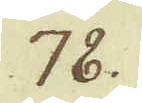78.
